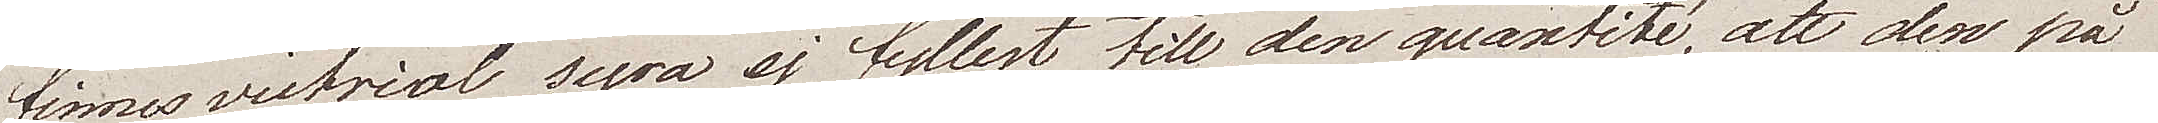finnas vitriol syra ej fyllest till den quantité, att den på
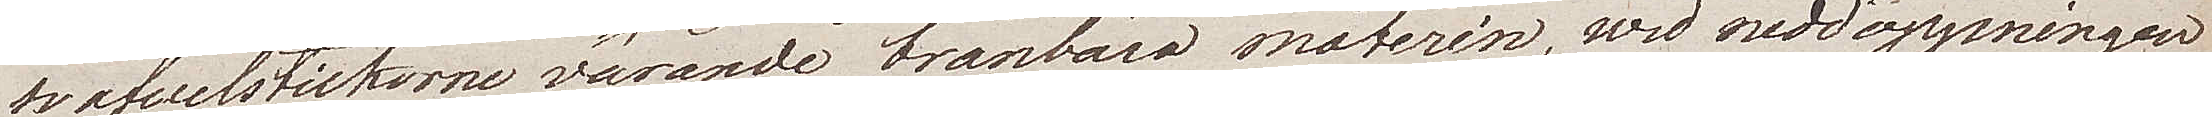svafwelstickorne varande bränbara materin, wid neddoppningen
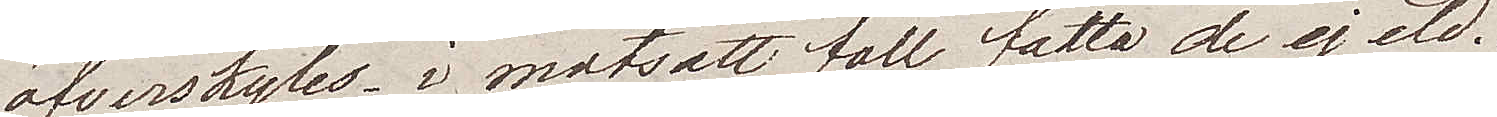öfverskyles, i motsatt fall fatta de ej eld.
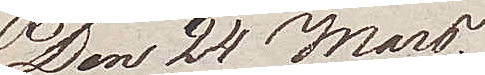Den 24 Mars.
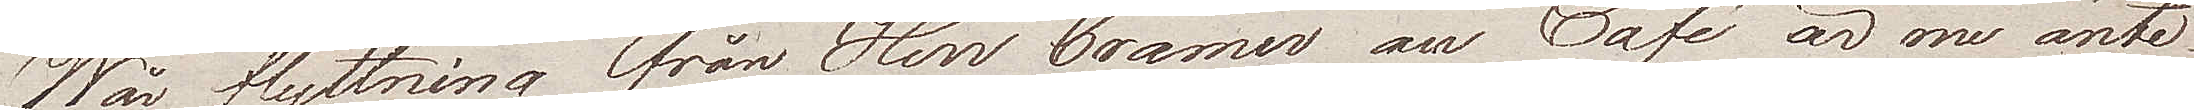Wår förflyttning från Herr Cramer au Café är nu änte¬
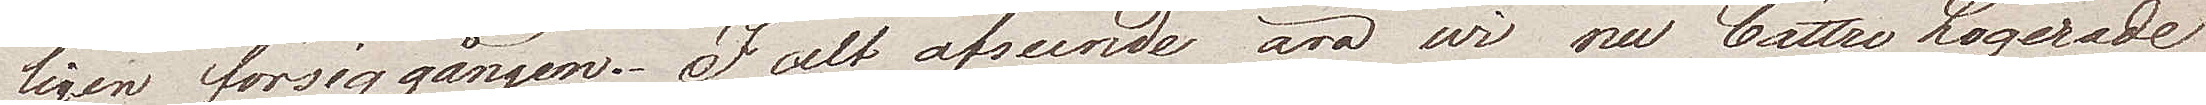ligen försiggången. I alt afseende äro wi nu bättre Logerade
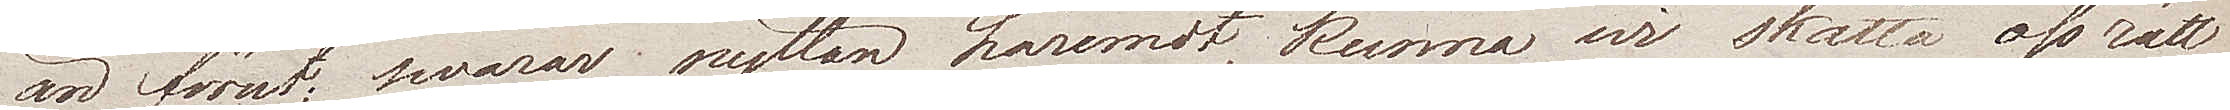än förut; swarar nyttan häremot, kunna wi skatta oss rätt
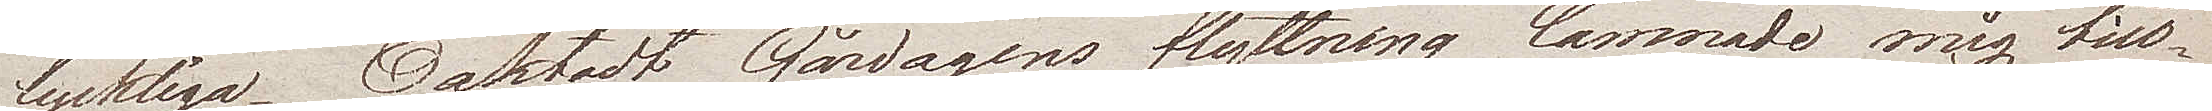lyckliga. Oaktadt Gårdagens flyttning lämnade mig till¬
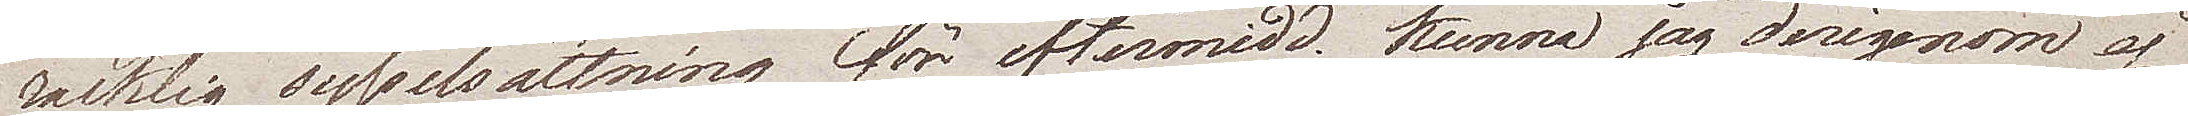räcklig sysselsättning för eftermidd. kunna jag derigenom ej
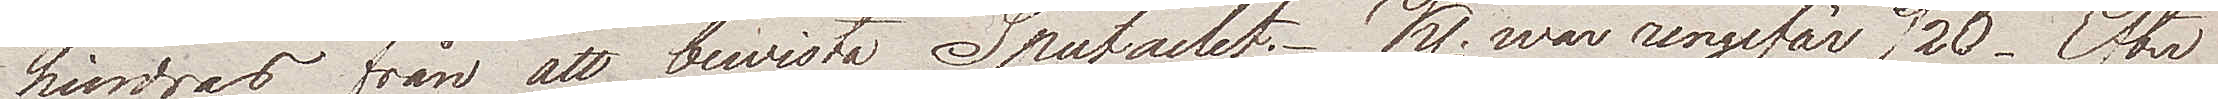hindras från att bewista Spectaclet. Kl. war ungefär 1/2 6. Efter
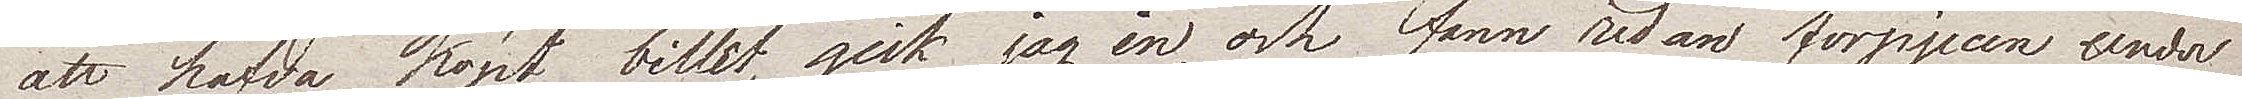att hafwa köpt billet, gick jag in, och fann redan förpjecen under
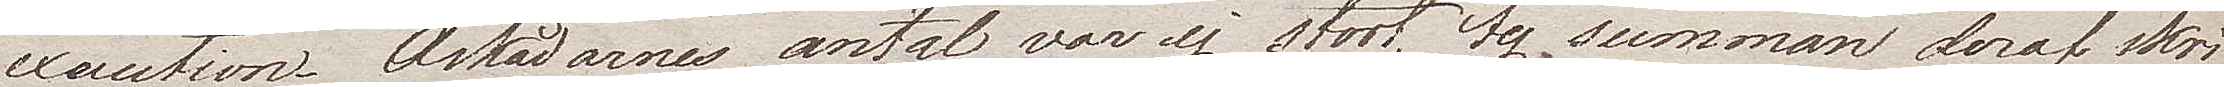execution. Åskådarnes antal var ej stort, ty summan deraf skri¬
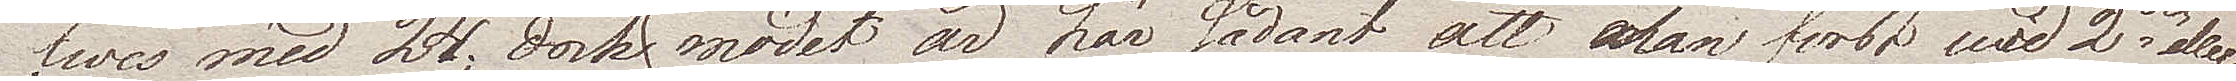fwes med 24; dock, modet är här sådant att man först med 2dre eller
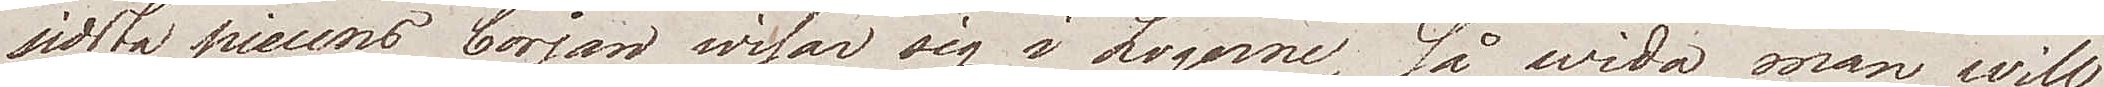sidsta piecens början wisar sig i Logerne, så wida man will
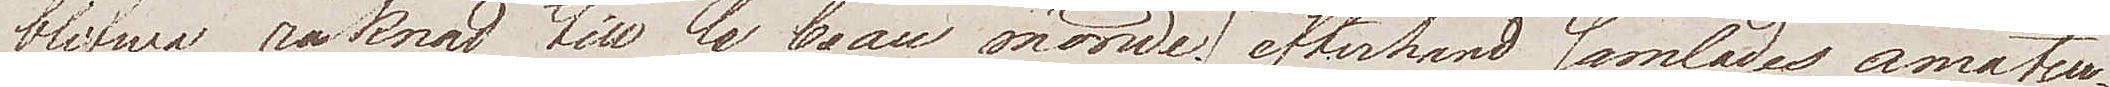blifwa räknad till le beau monde; efterhand samlades amateur¬
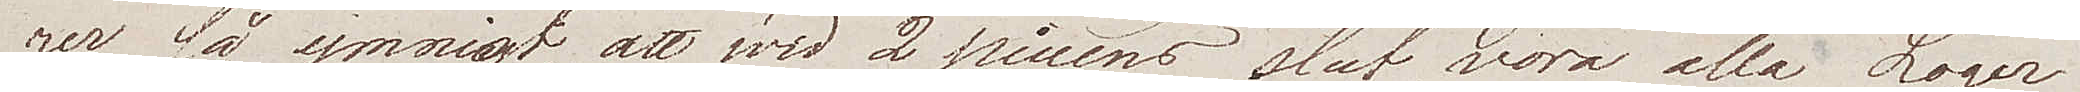rer så ymnigt, att wid 2 piecens slut vore alla Loger
